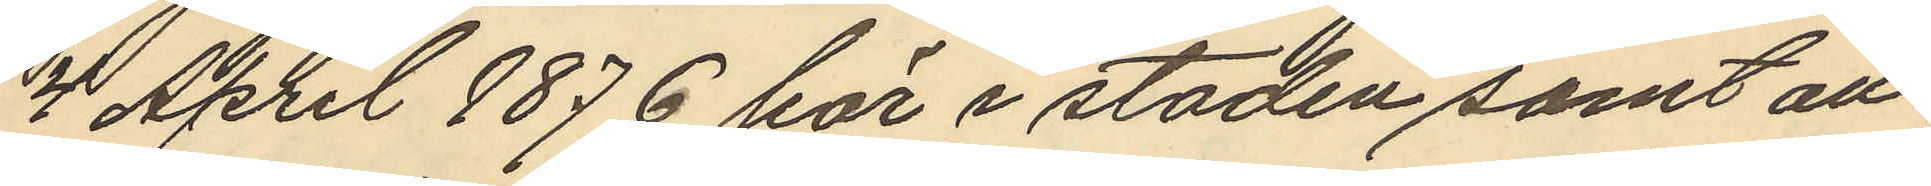4 April 1876 här i staden samt att
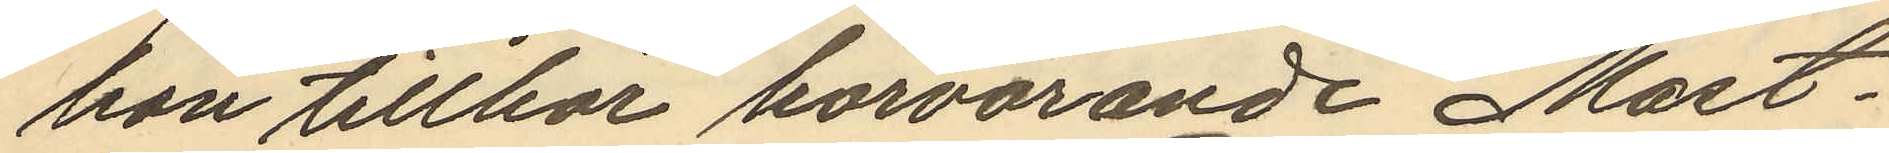hon tillhör härvarande Mast¬
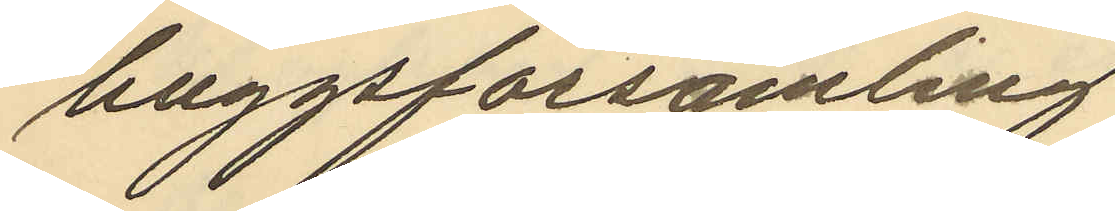huggsförsamling
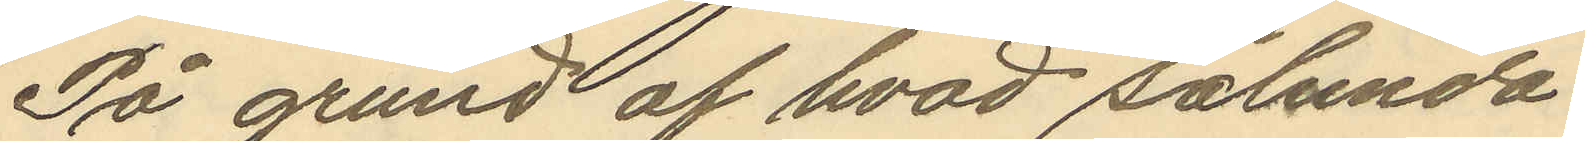På grund af hvad sålunda
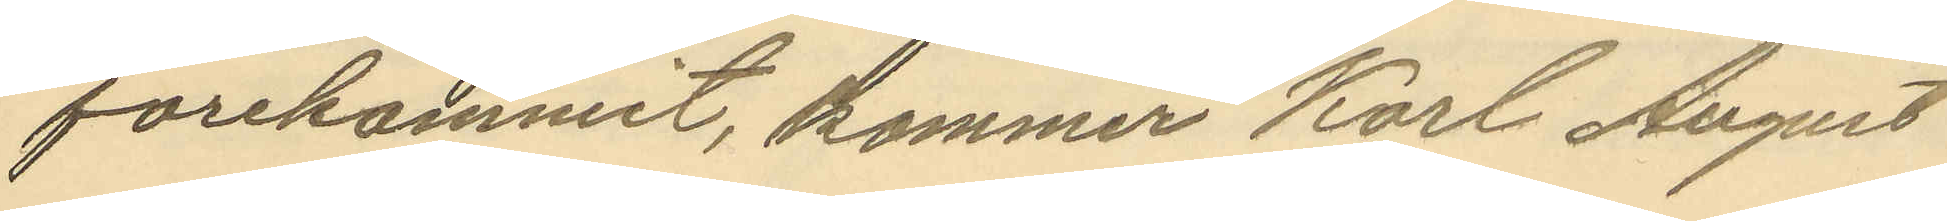forekommit, kommer Karl August
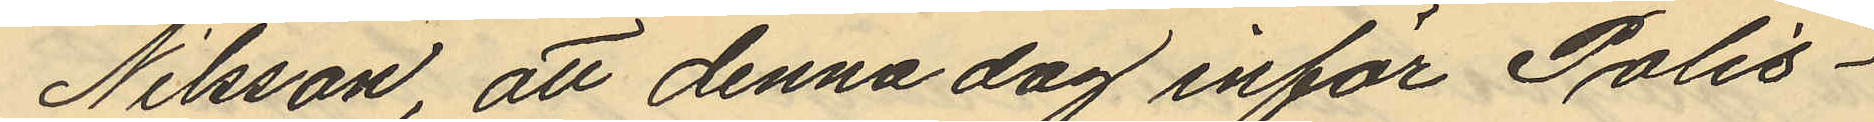Nilsson, att denna dag inför Polis¬
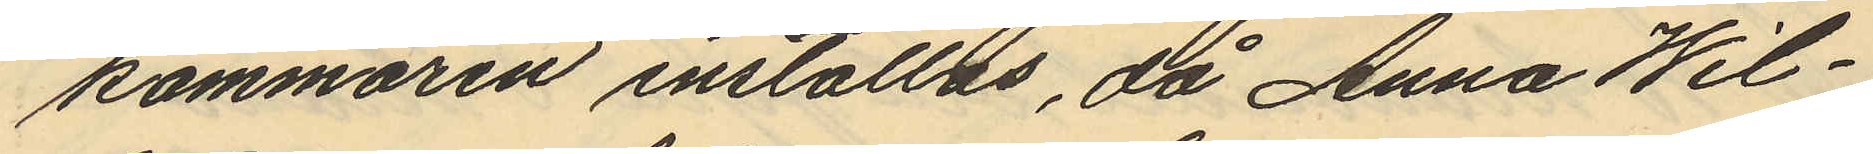kammaren inställas, då Anna Wil¬
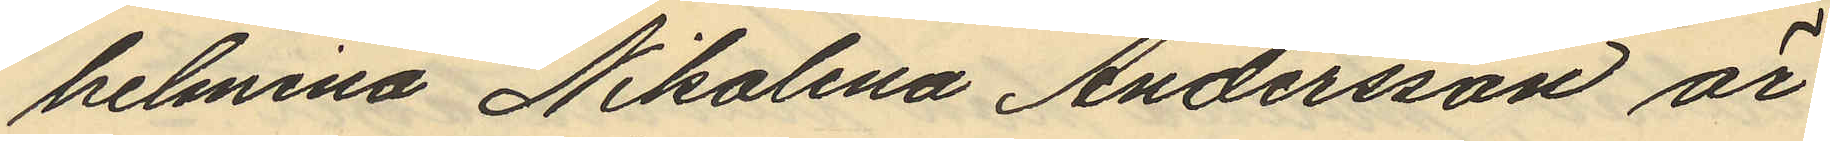helmina Nikolina Andersson är
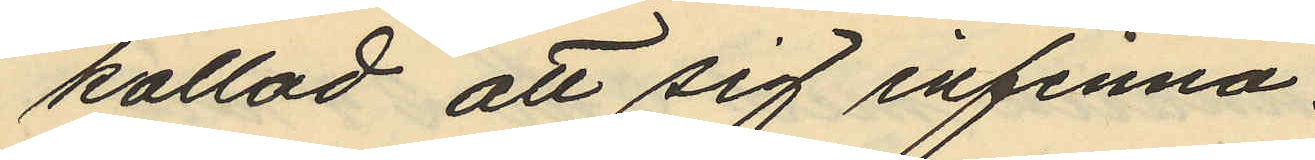kallad att sig infinna. -
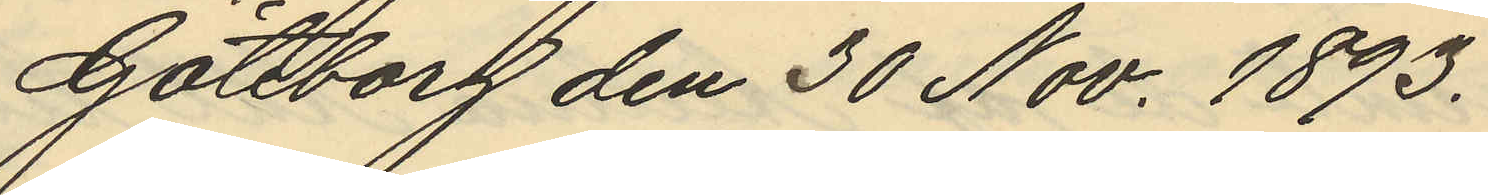Göteborg den 30 Nov. 1893.
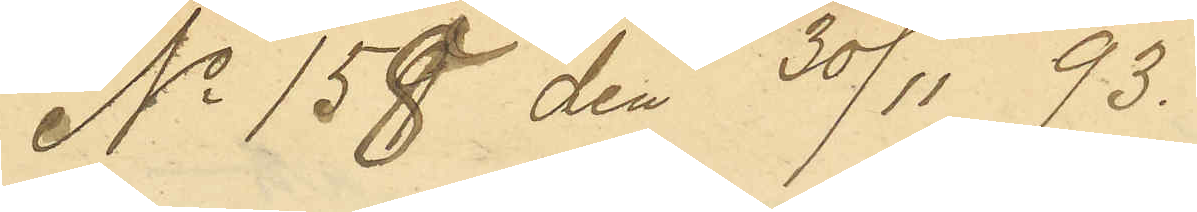No 158 den 30/11 93.
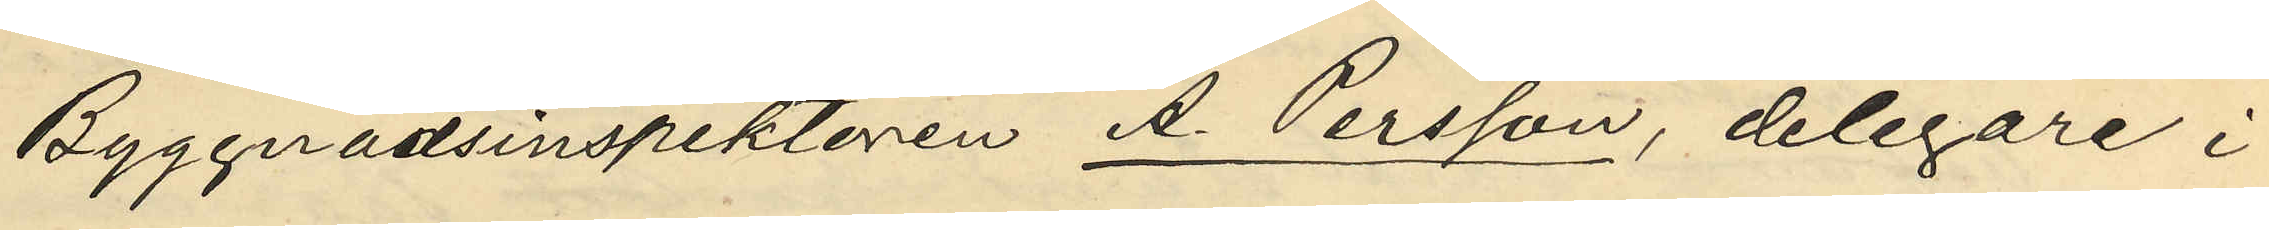Byggnadsinspektoren A. Persson, delegare i
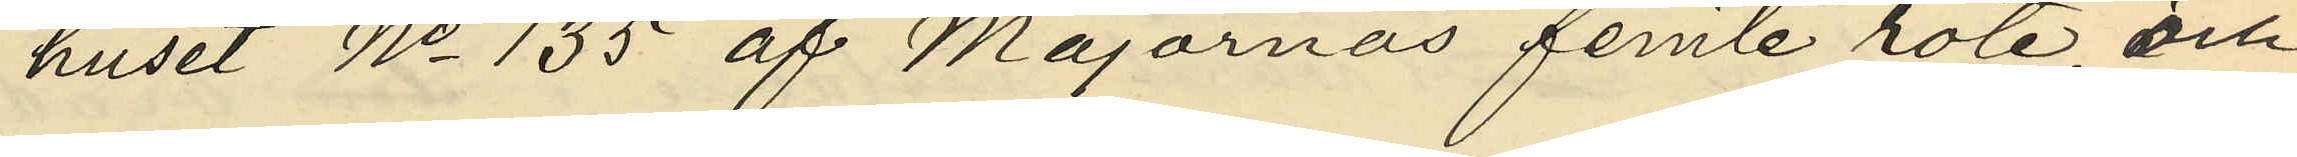huset No 135 af Majornas femte rote och
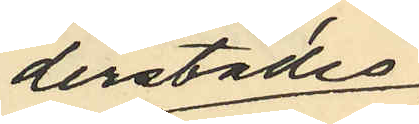derstädes,
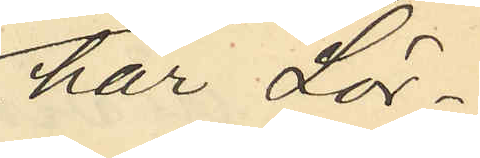har Lör¬
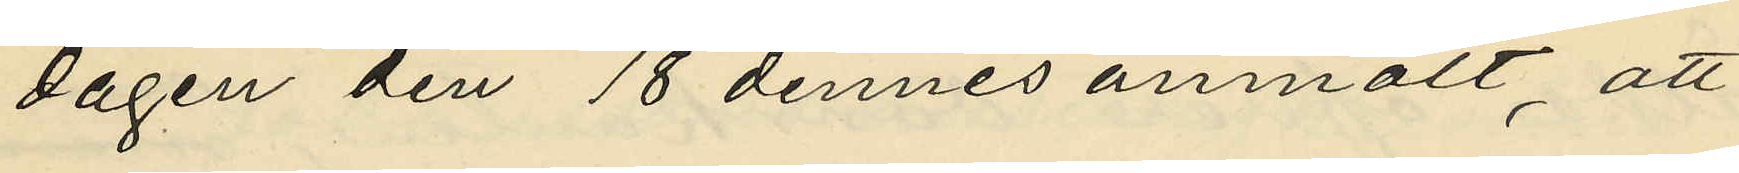dagen den 18 dennes anmält, att
